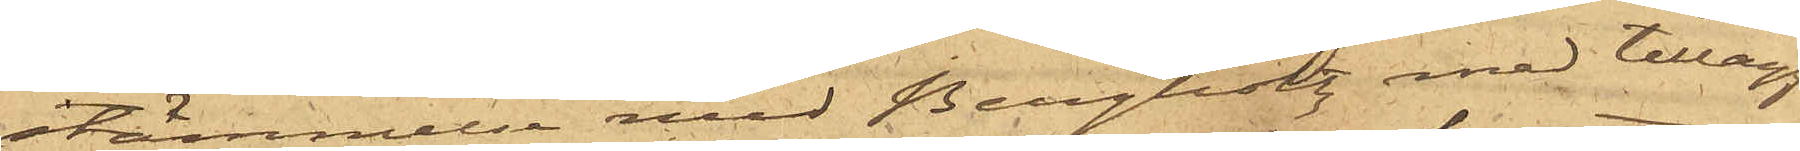stämmelse med Bergholtz med tillägg
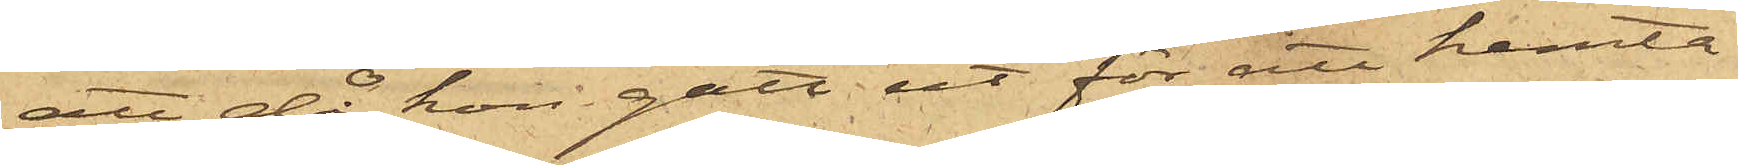att då hon gått ut för att hemta
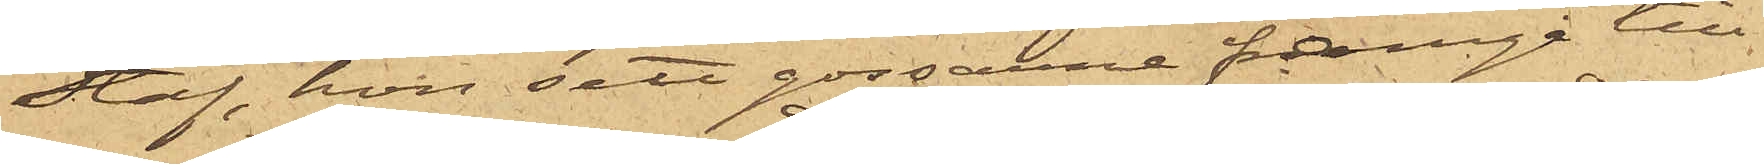Staf, hon sett gossarne framgå till
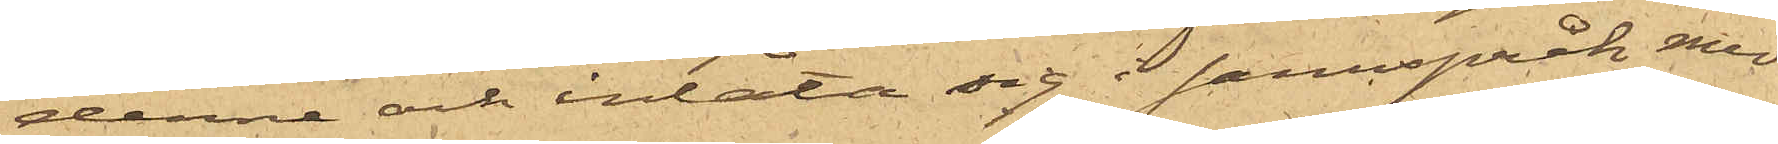denne och inlåta sig i samspråk med
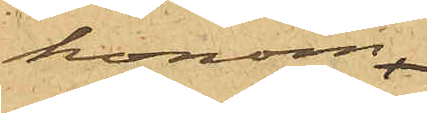honom
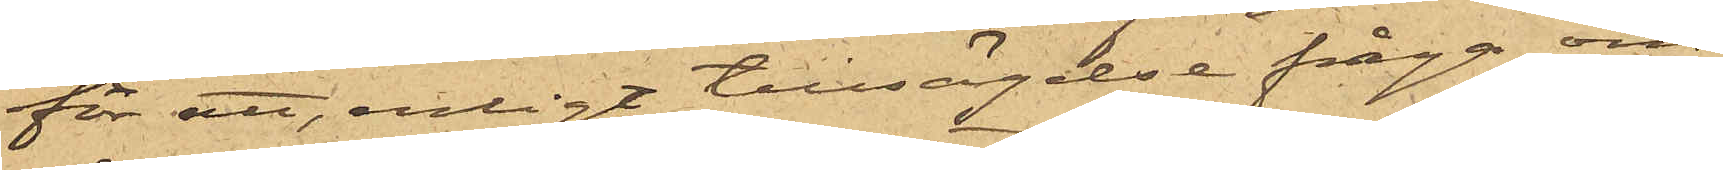för att, enligt tillsägelse fråga om
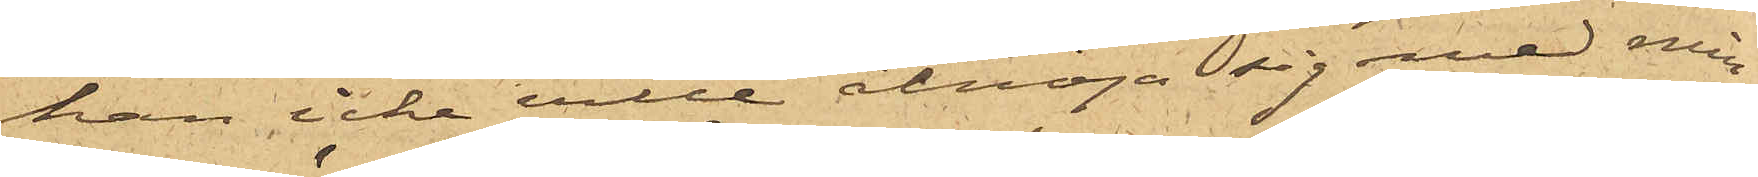han icke ville åtnöja sig med min¬
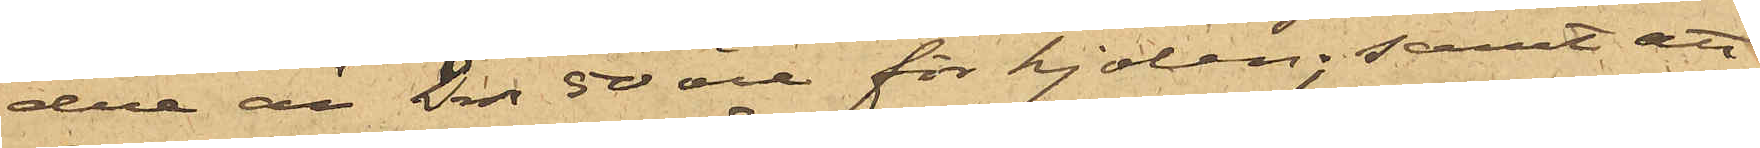dre än 2 rdr 50 öre för kjolen; samt att
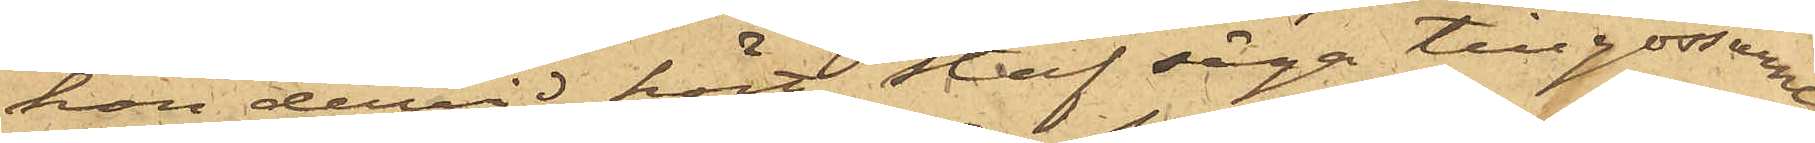hon dervid hört Staf säga till gossarne
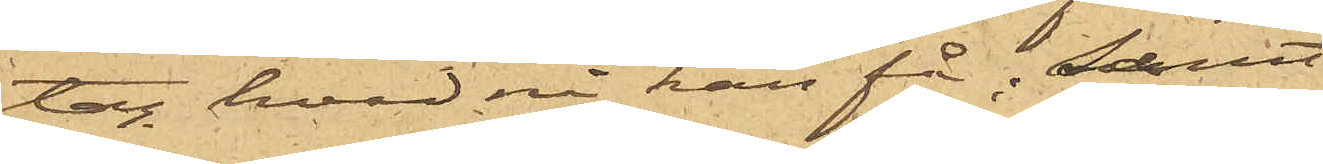tag hvad ni kan få; samt
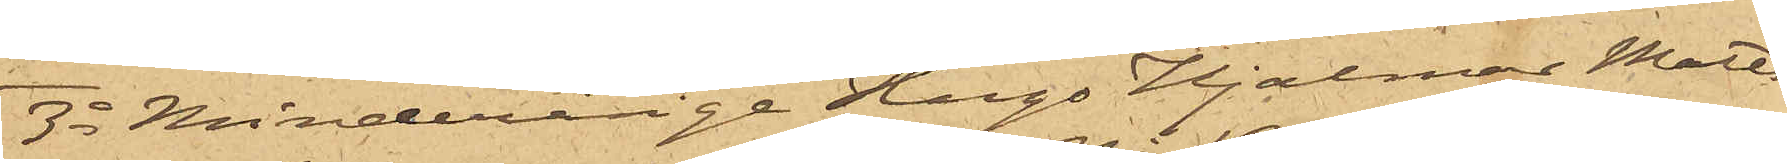3o Minderårige Hugo Hjalmar Matts¬
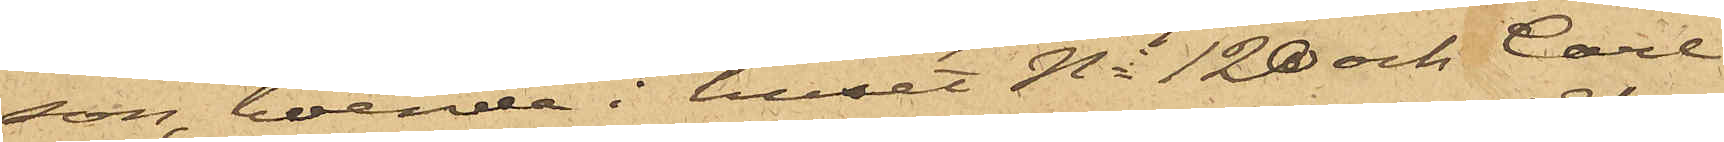son, boende i huset No 120 och Carl
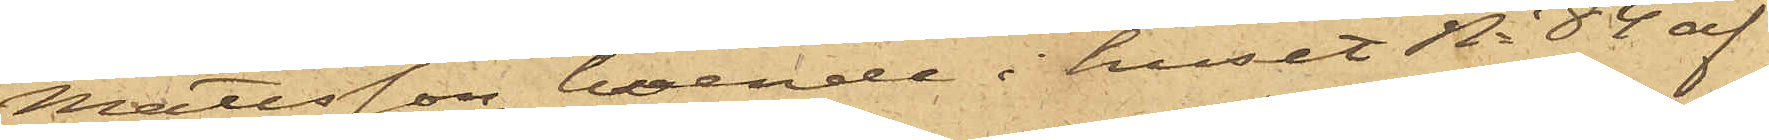Mattsson, boende i huset No 84 af
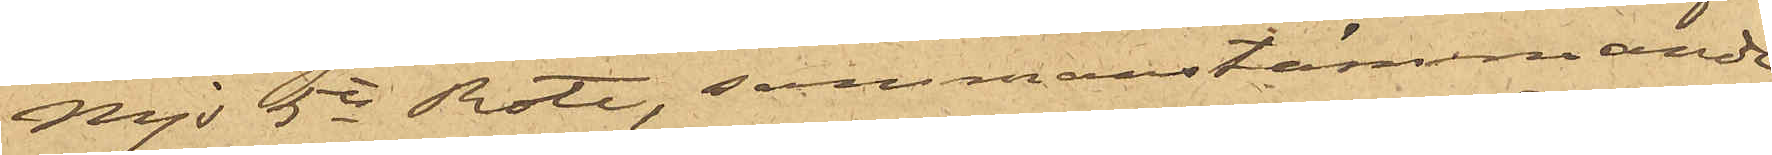Majs 5te Rote, sammanstämmande,
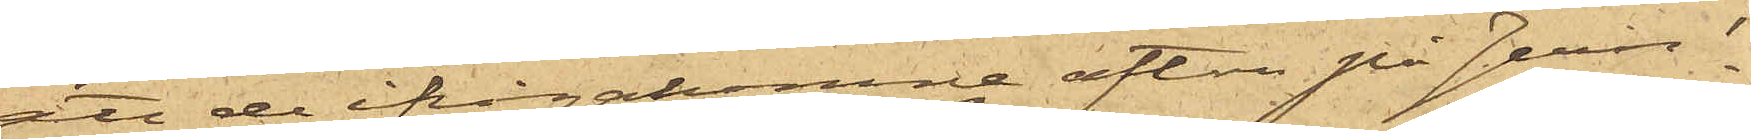att de ifrågakomne afton på Jern¬
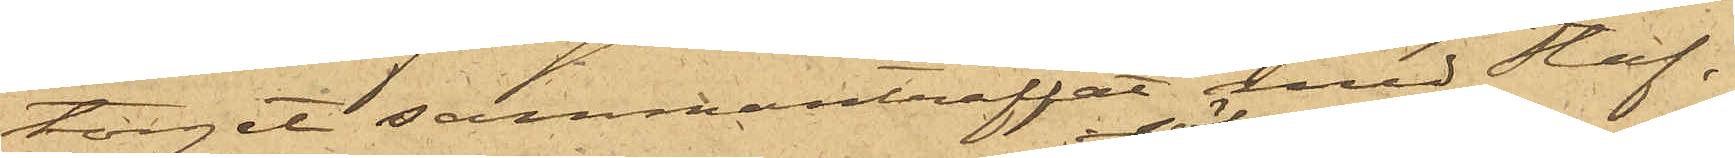torget sammanträffat med Staf,
